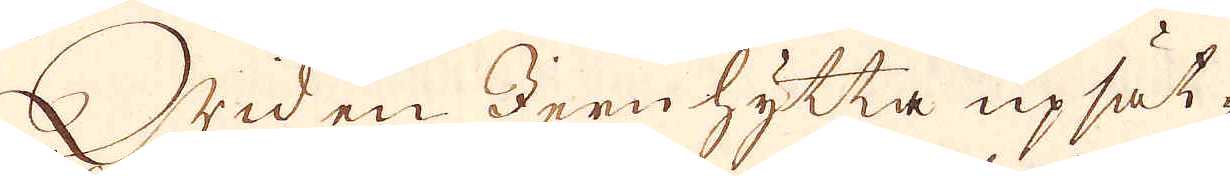Wid en Jern hytta upsät-
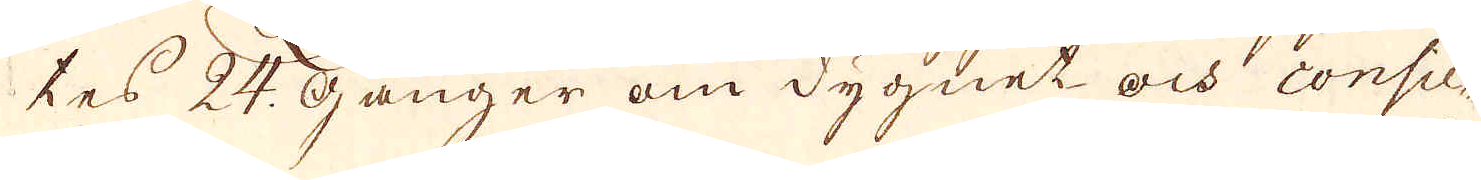tes 24. Gånger om dygnet och consu-
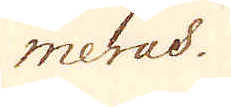merad.
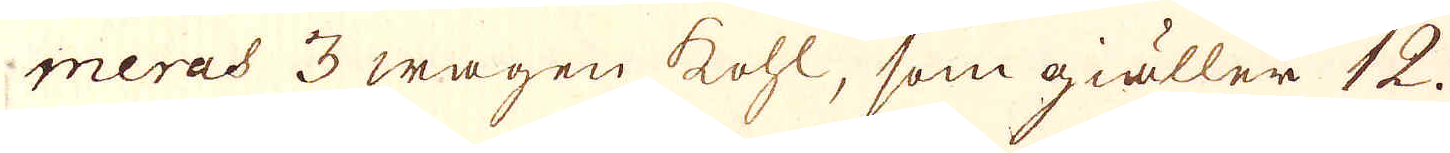meras 3 wagen kohl, som giäller 12.
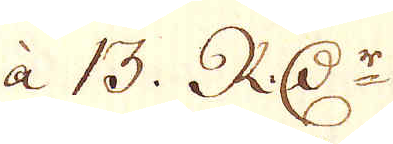à 13. RD:r
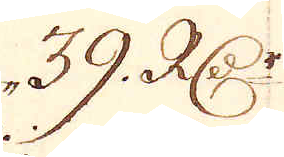39. RD:r
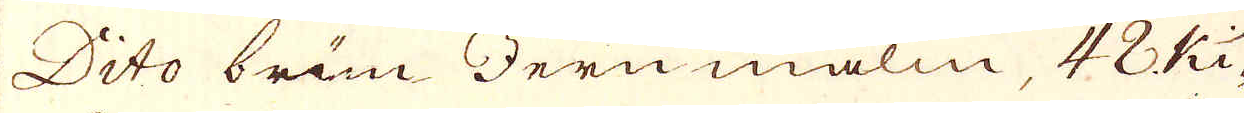Dito brun Jern malm, 48 Ki-
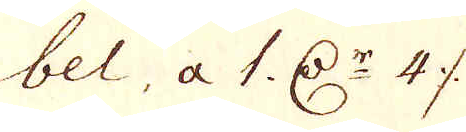bel, a 1. D:r 47 öre
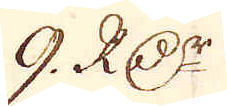9. RD:r
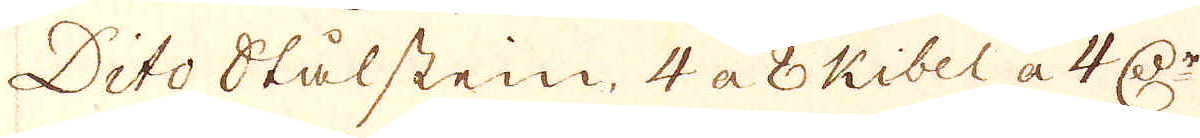Dito Stålstein, 4. a 8 Kibel a 4 D:r
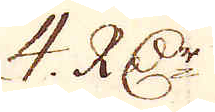4. R:Dr
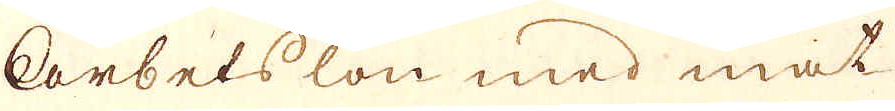Arbets lön med mat
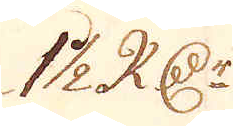1 1/2 R:Dr
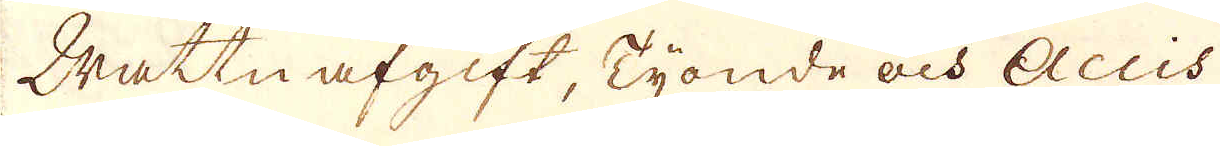Wattn afgift, Tionde och Accis
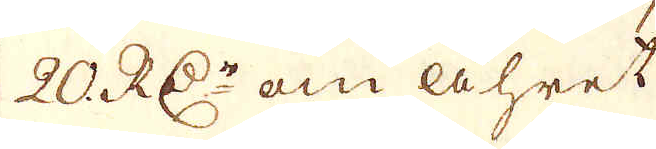20 RD:r om åhret
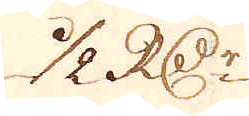1/2 R:Dr
